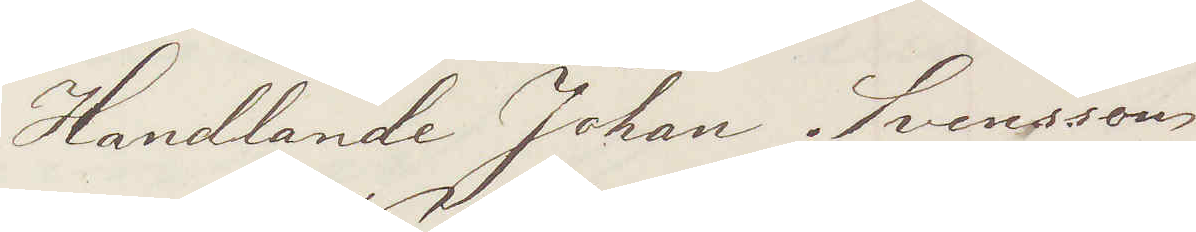Handlande Johan Svensson
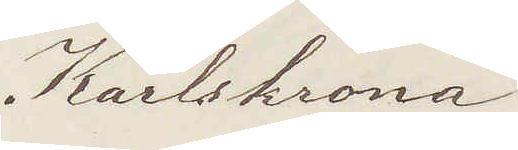Karlskrona
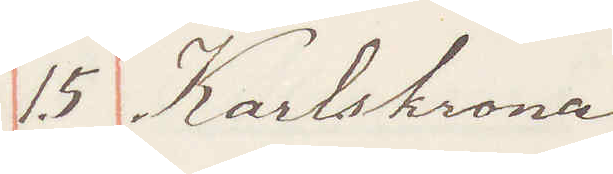15 Karlskrona
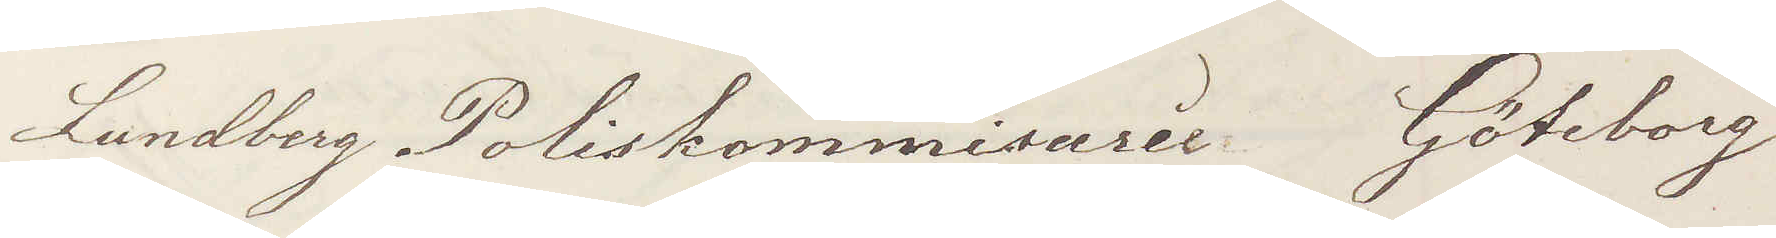Lundberg Poliskommissarie Göteborg
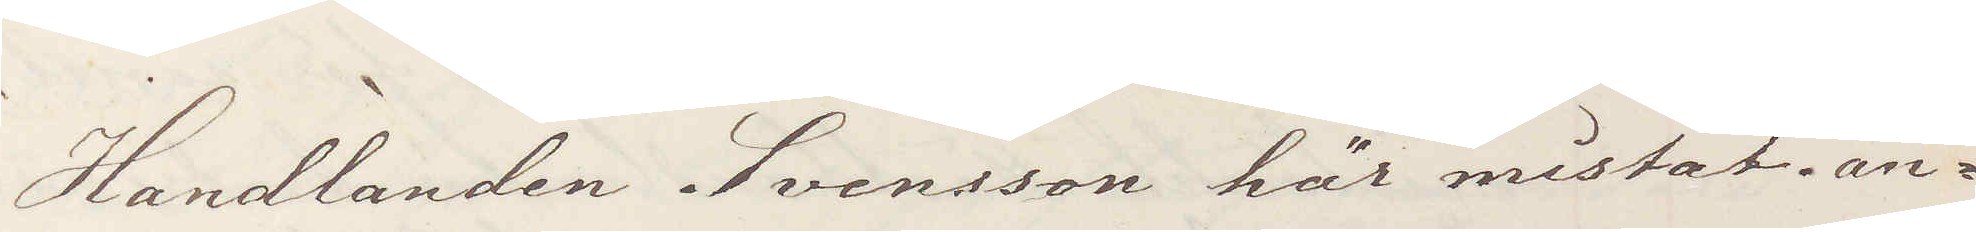Handlanden Svensson här mistat ån¬
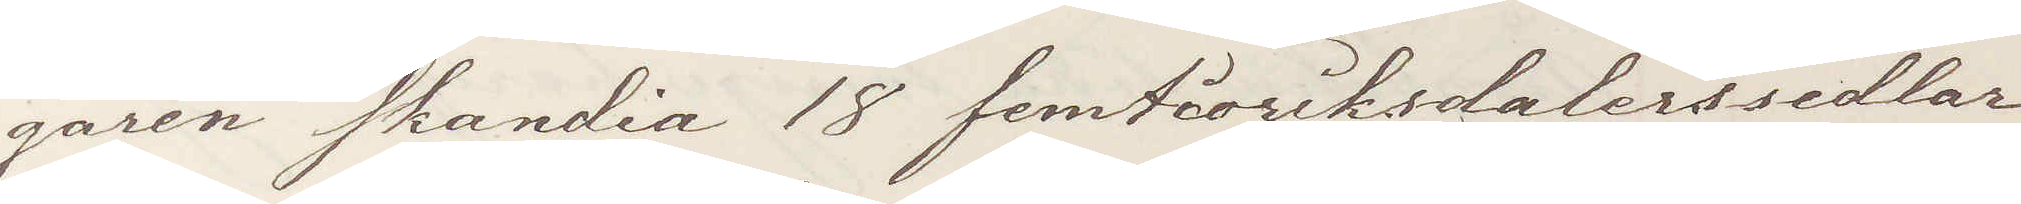garen Skandia 18 femtioriksdalerssedlar
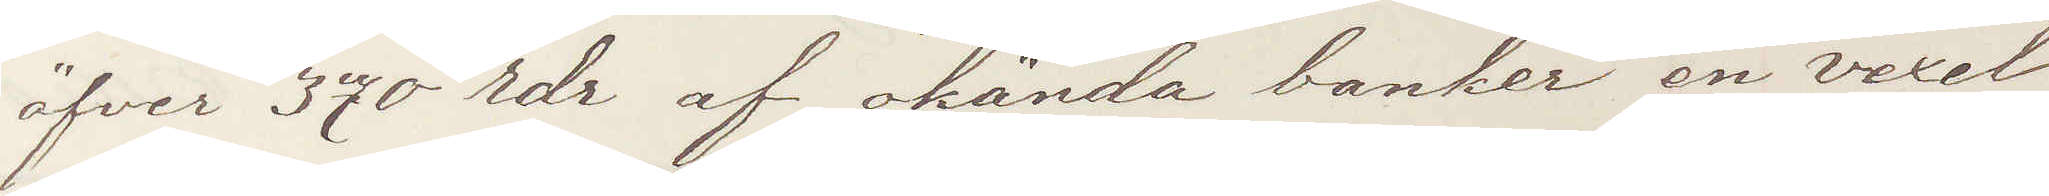öfver 370 rdr af okända banker en vexel
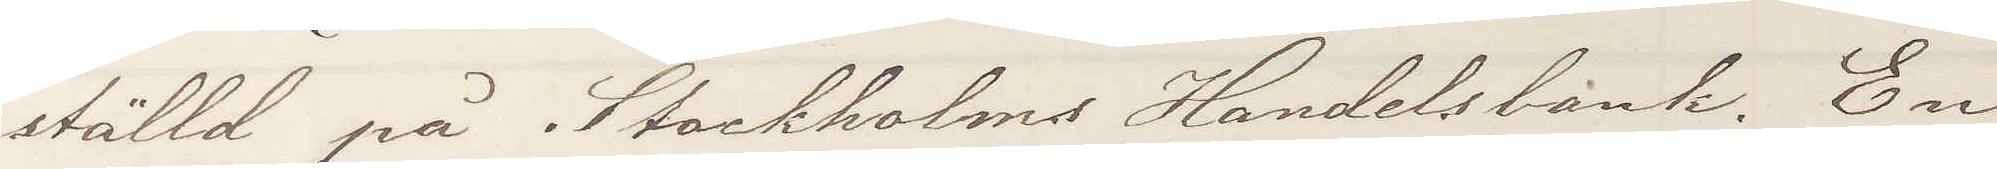ställd på Stockholms handelsbank. En
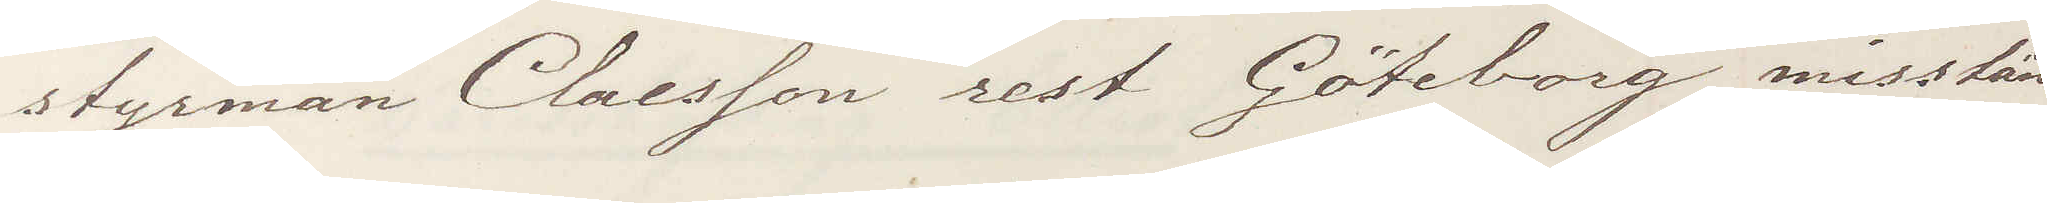styrman Claeson rest Göteborg misstän¬
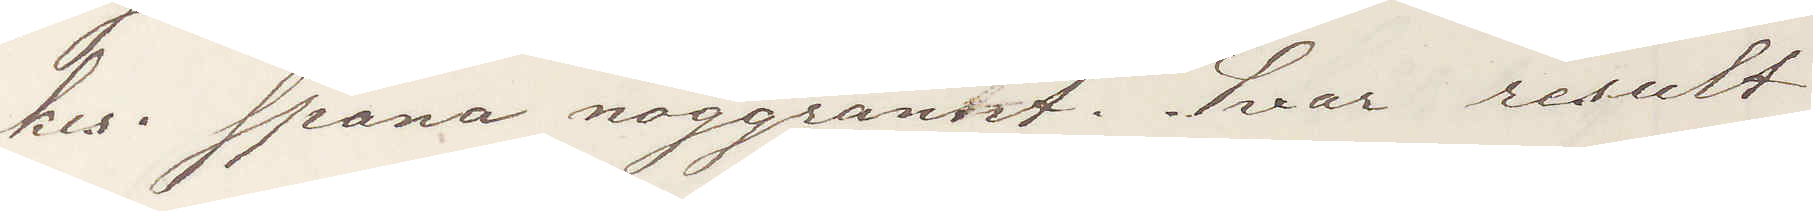kes. Spana noggrannt. Svar result
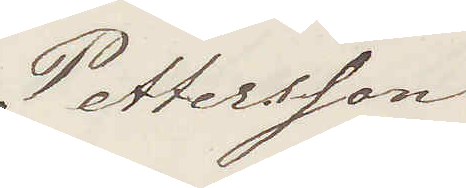Pettersson
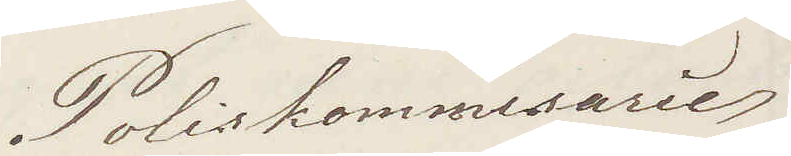Poliskommissarie
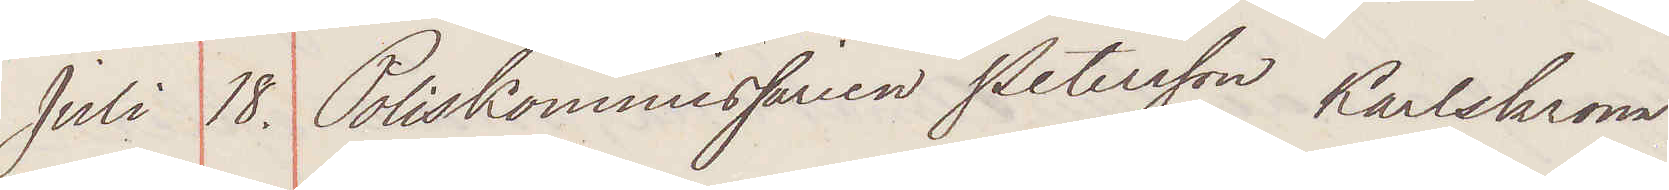Juli 18. Poliskommissarie Petersson Karlskrona.
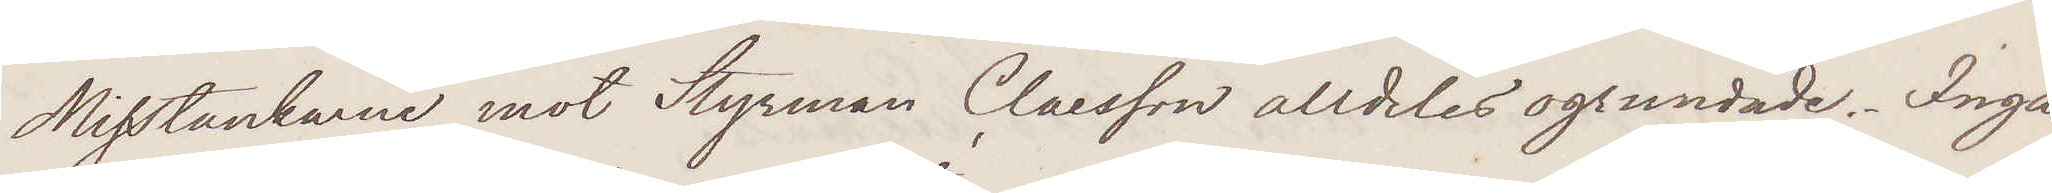Misstankarne mot Styrman Claesson alldeles ogrundade. Inga
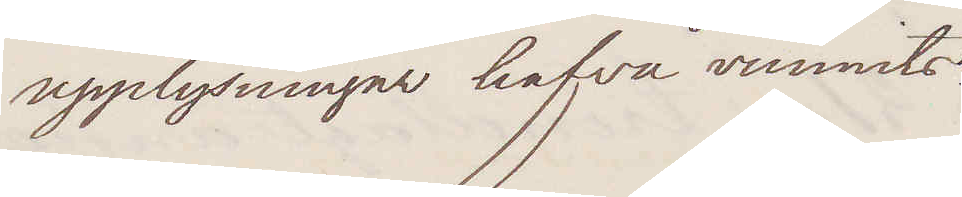upplysningar hafva vunnits.
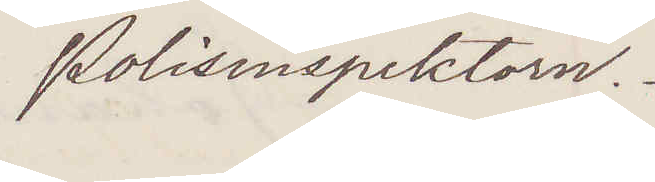Polisinspektorn.
